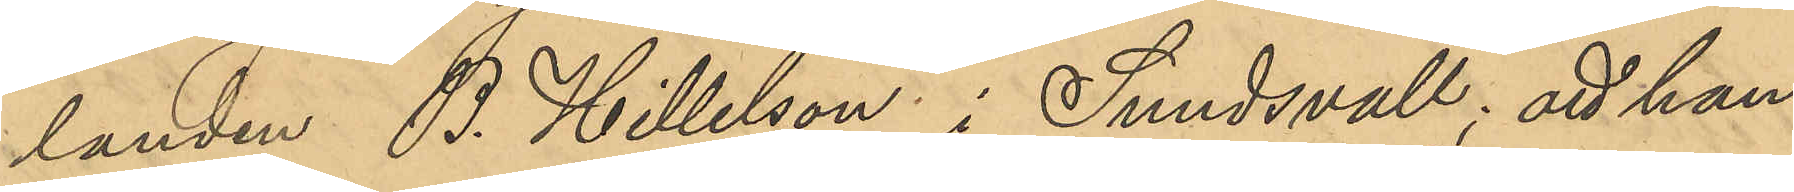landen B. Hillelson i Sundsvall; att han
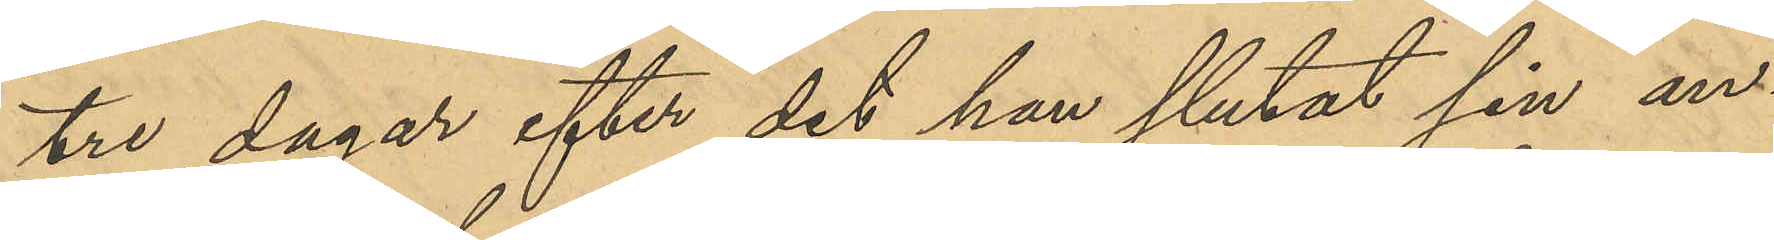tre dagar efter det han slutat sin an¬
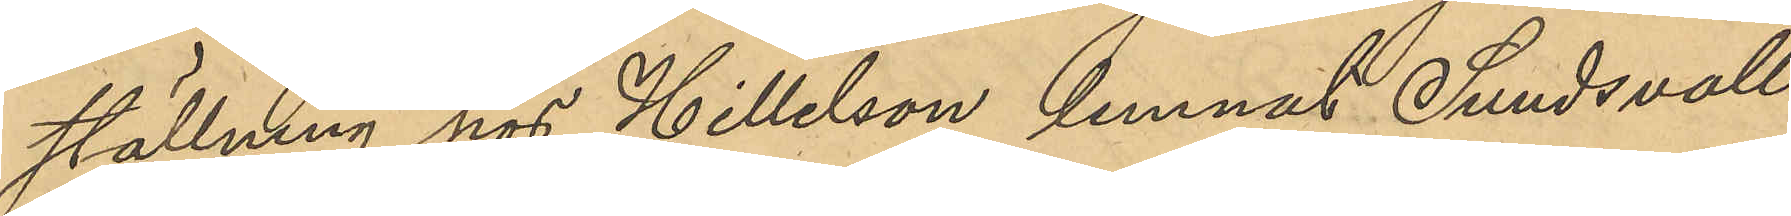ställning hos Hillelson lemnat Sundsvall
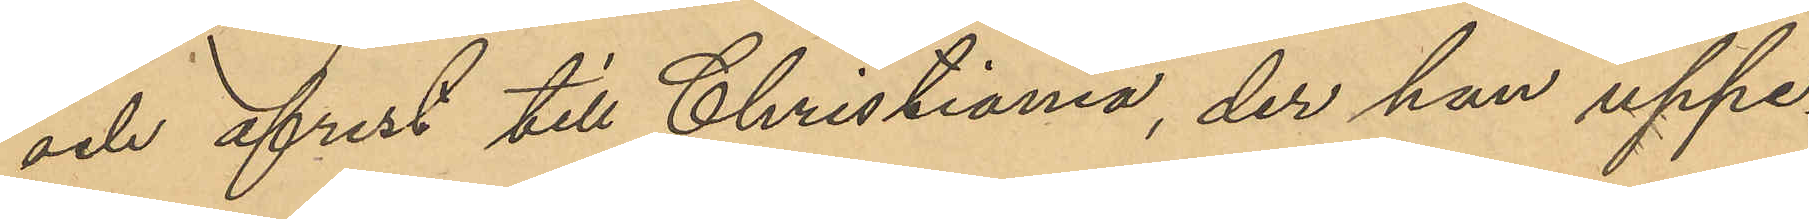och afrest till Christiania, der han uppe¬
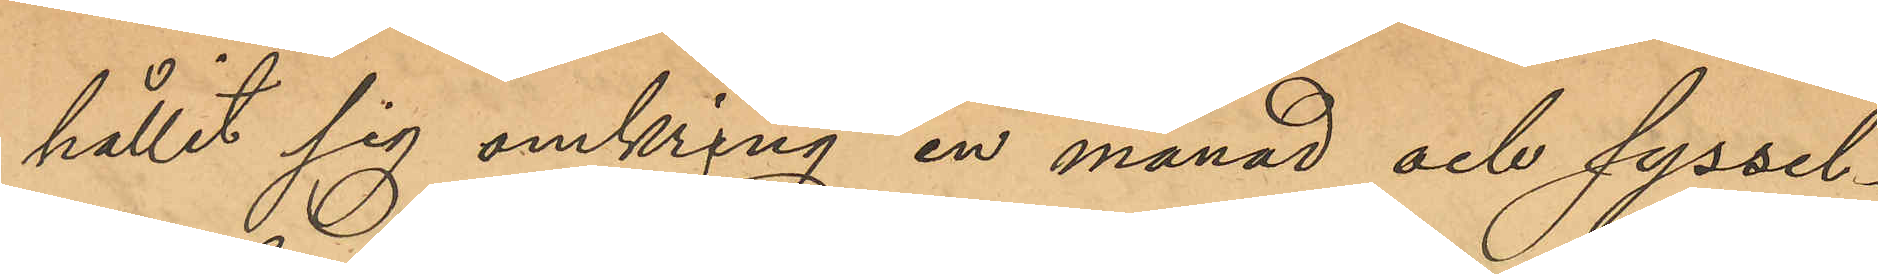hållit sig omkring en månad och syssel¬
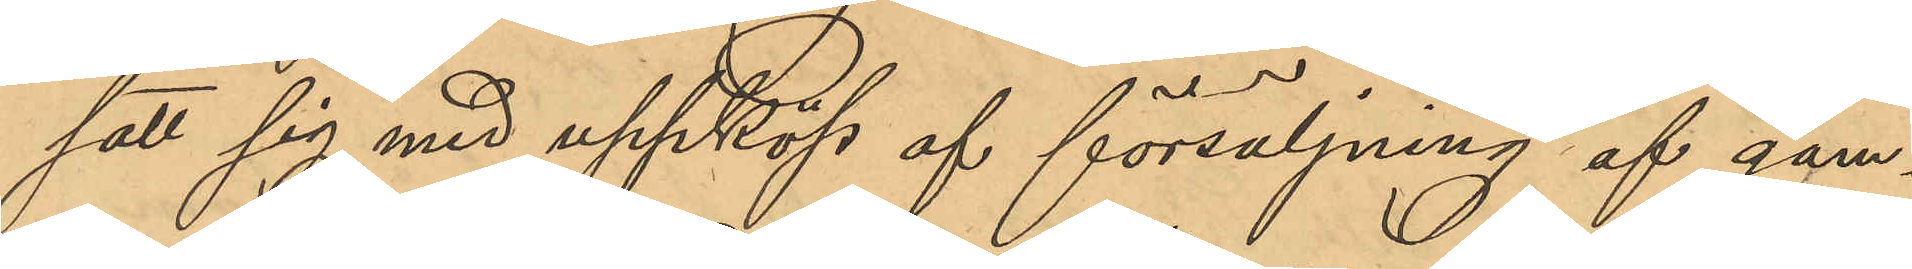satt sig med uppköp af försäljning af gam¬
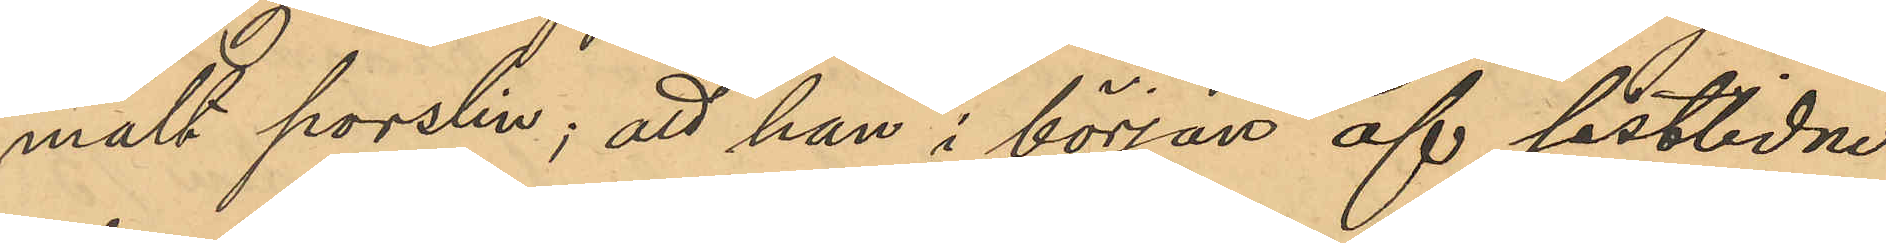malt porslin; att han i början af sistlidne
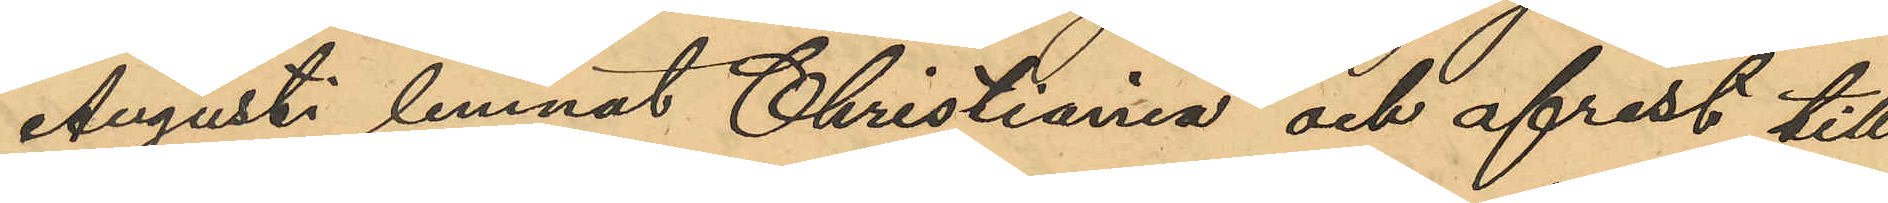Augusti lemnat Christiania och afrest till
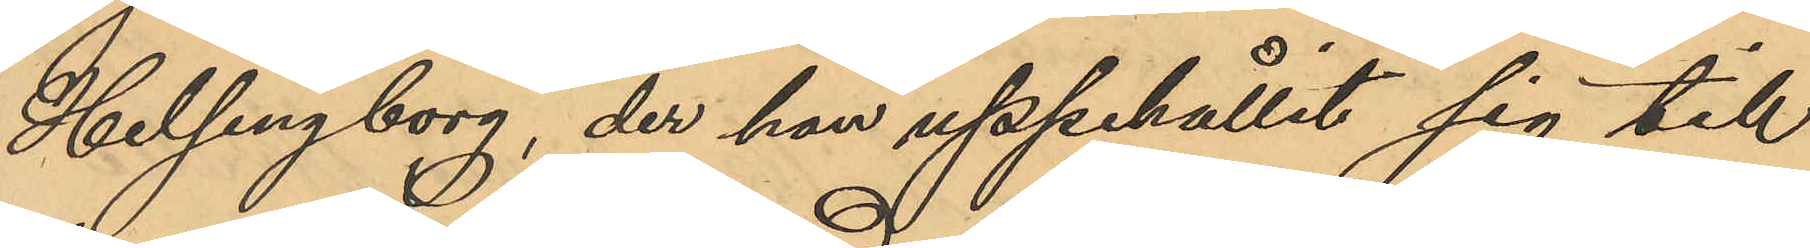Helsingborg, der han uppehållit sig till
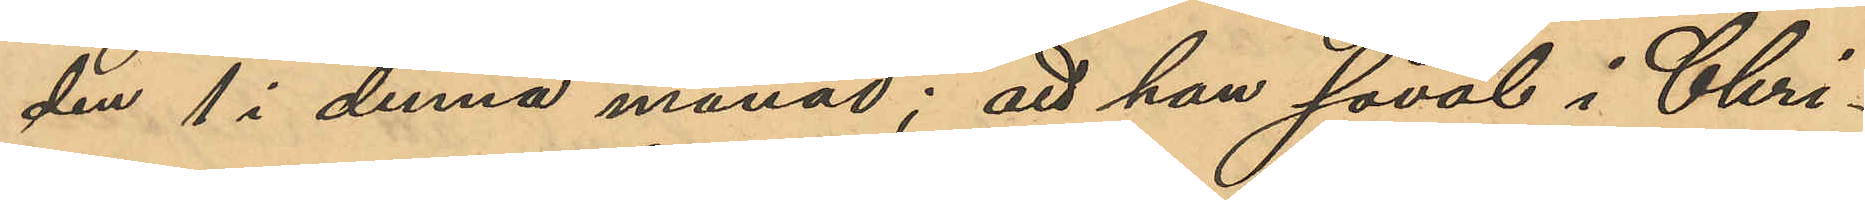den 1 i denna månad; att han såväl i Chri¬
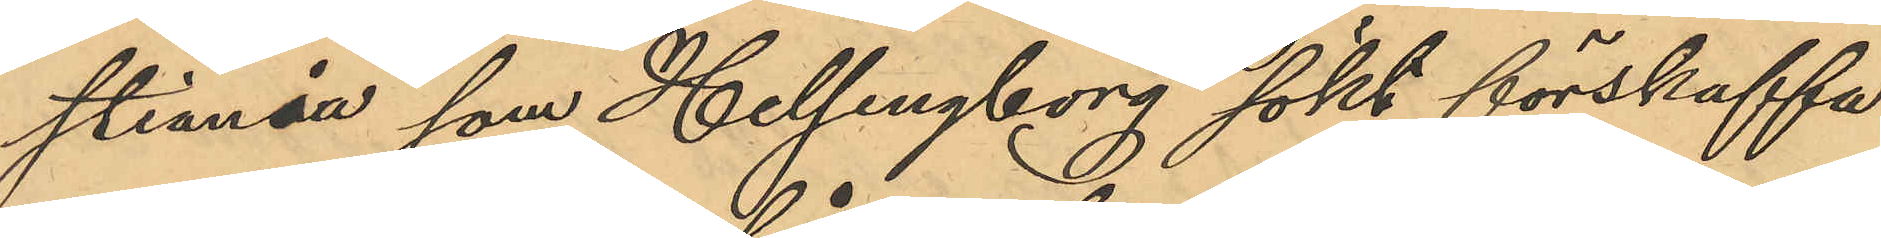stiania som Helsingborg sökt förskaffa
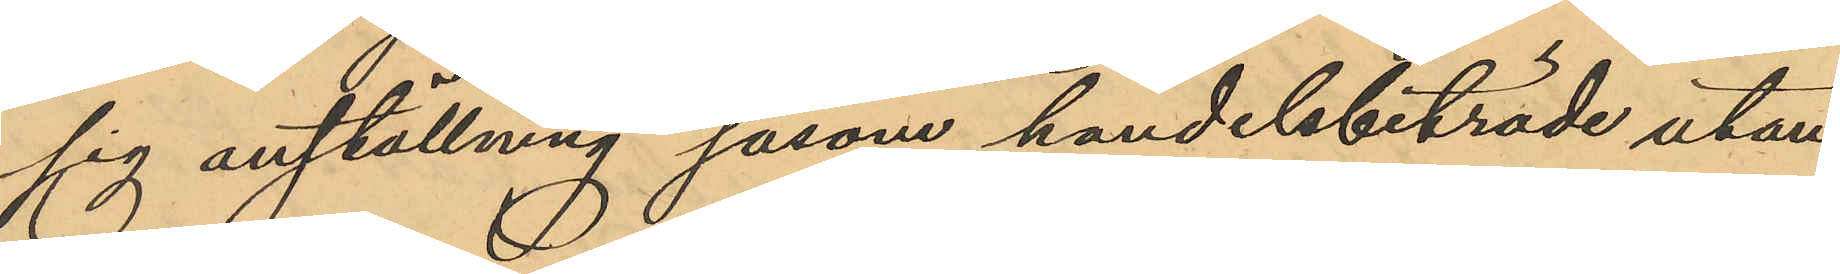sig anställning såsom handelsbiträde utan
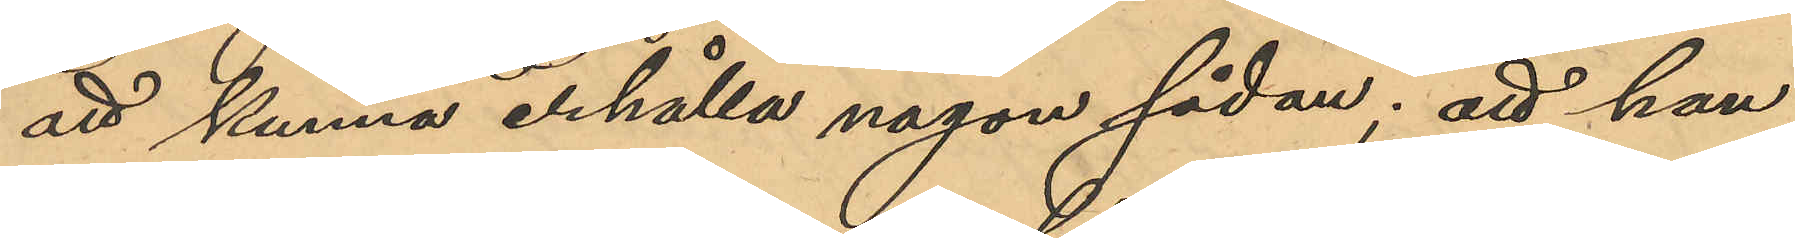att kunna erhålla någon sådan; att han
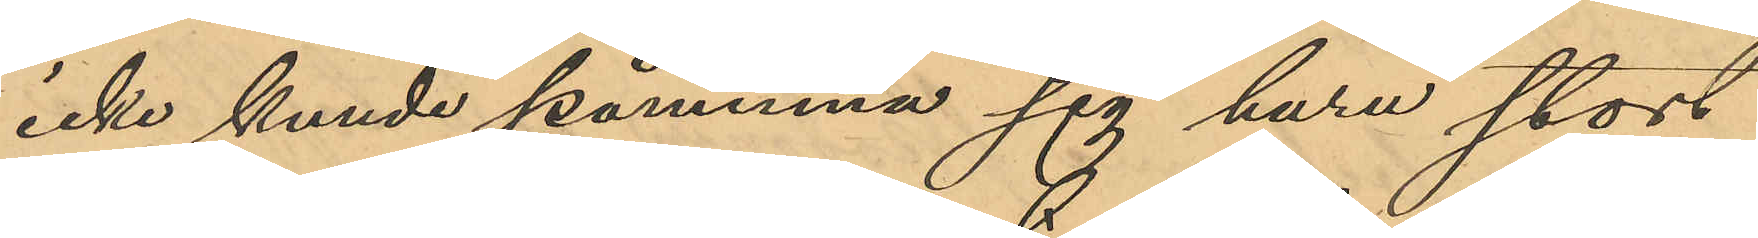icke kunde påminna sig huru stort
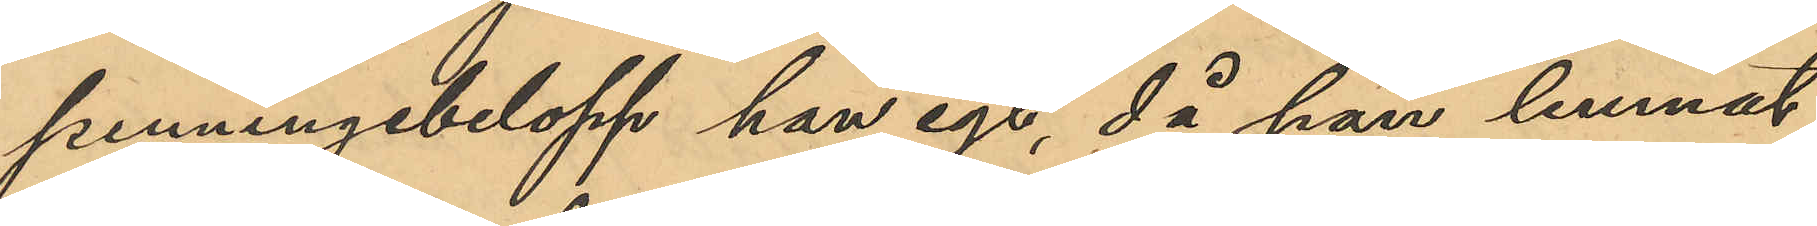penningbelopp han egt, då han lemnat
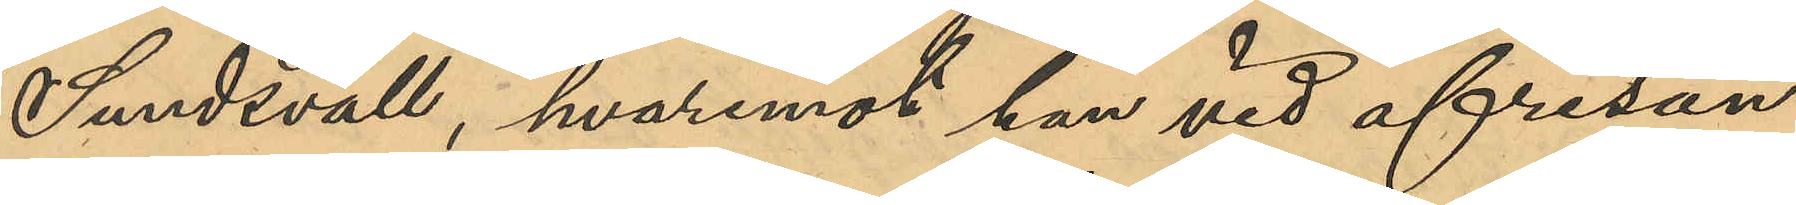Sundsvall, hvaremot han vid afresan
